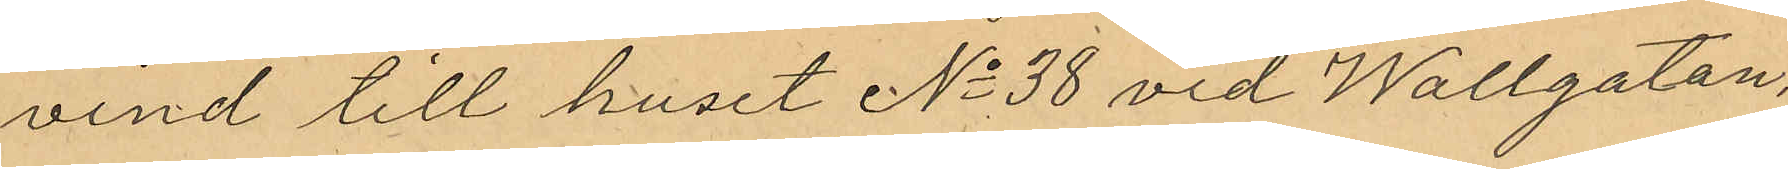vind till huset No 38 vid Wallgatan,
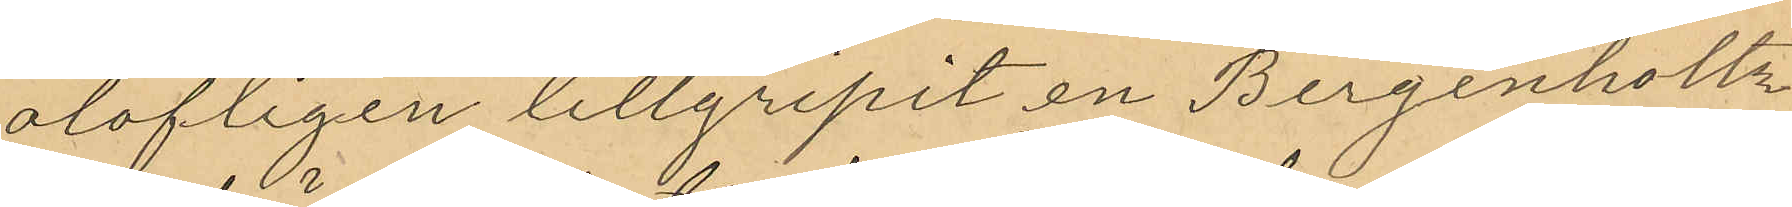olofligen tillgripit en Bergenholz
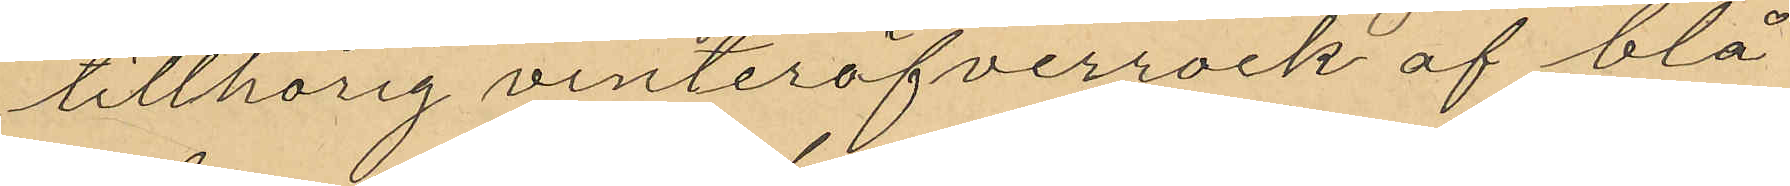tillhörig vinteröfverrock af blå
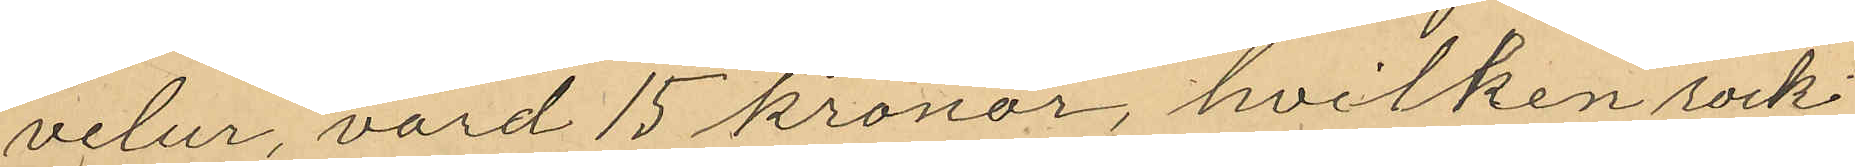velur, värd 15 kronor, hvilken rock
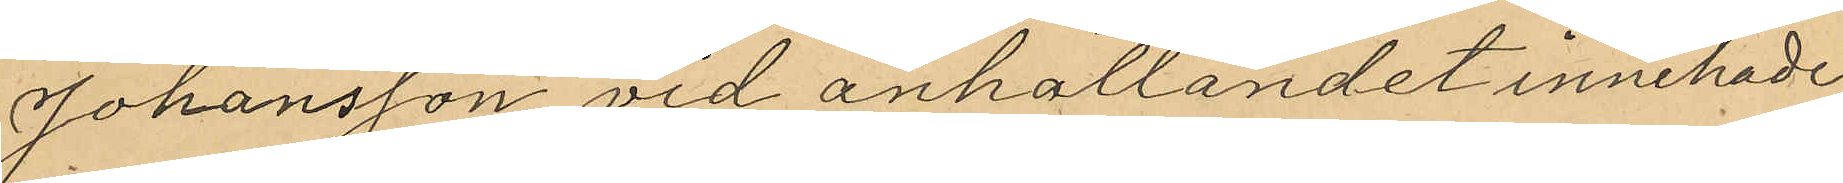Johansson vid anhållandet innehade
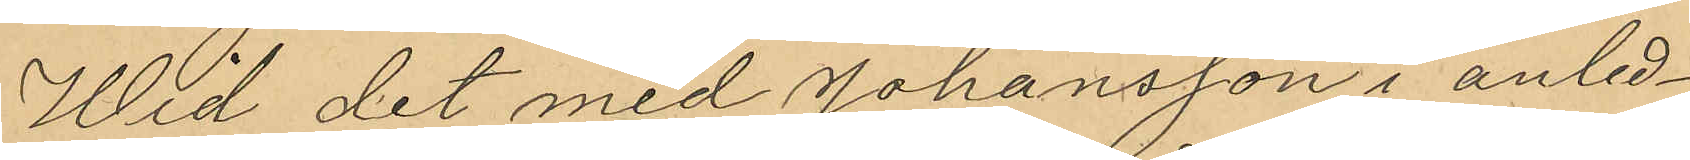Wid det med Johansson i anled¬
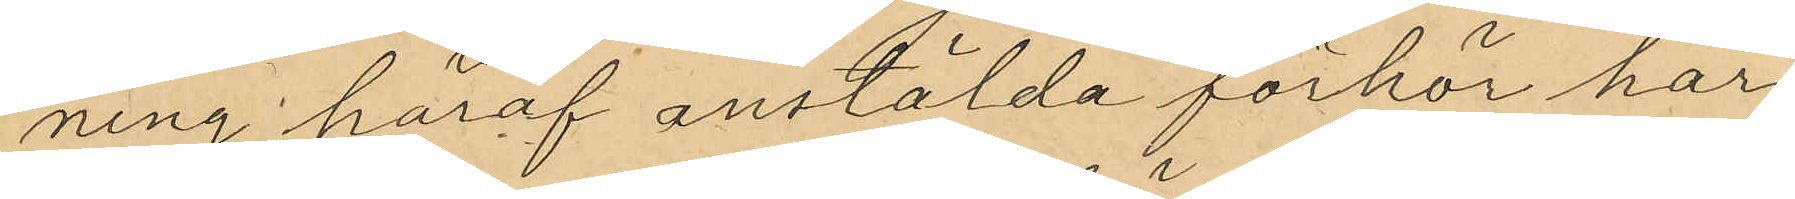ning häraf anstälda förhör har
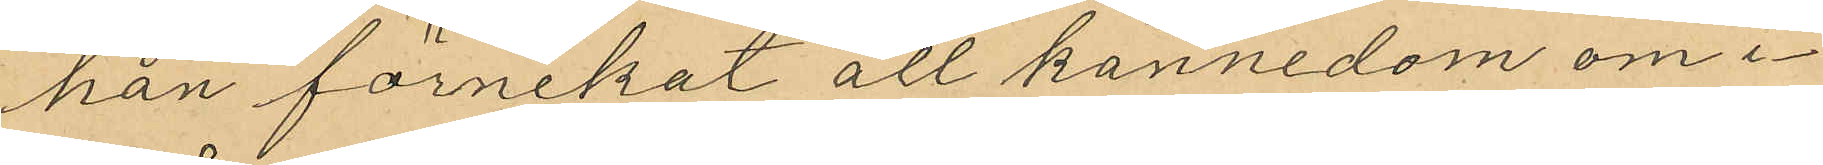han förnekat all kännedom om i¬
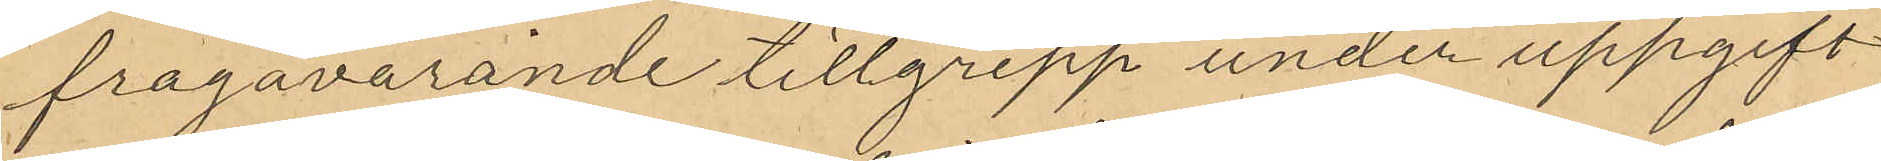frågavarande tillgrepp under uppgift
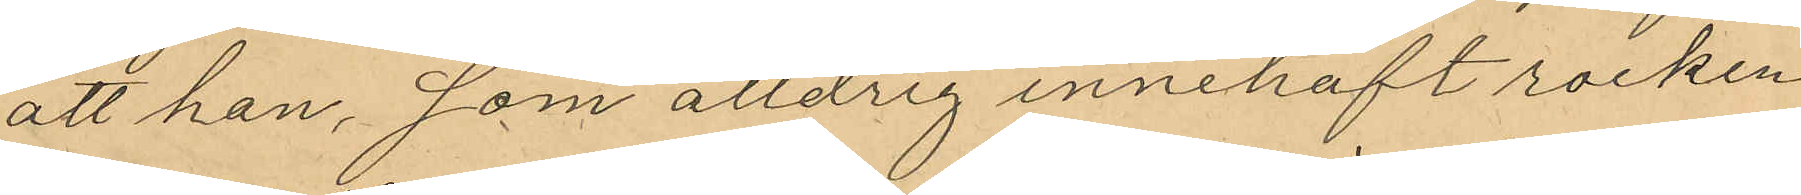att han, som alldrig innehaft rocken
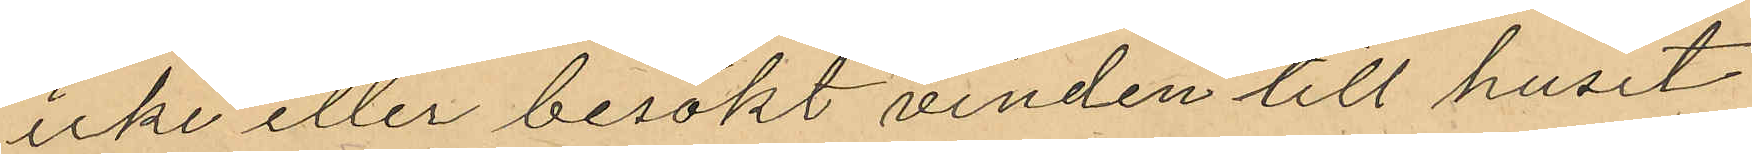icke eller besökt vinden till huset
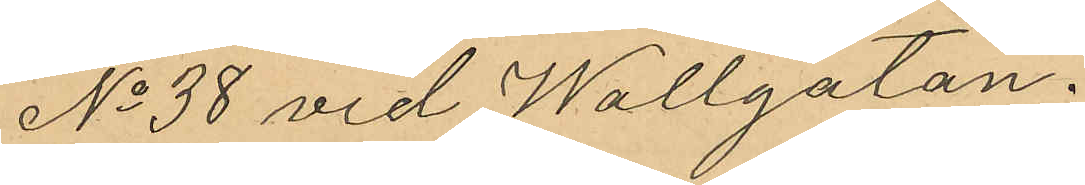No 38 vid Wallgatan.
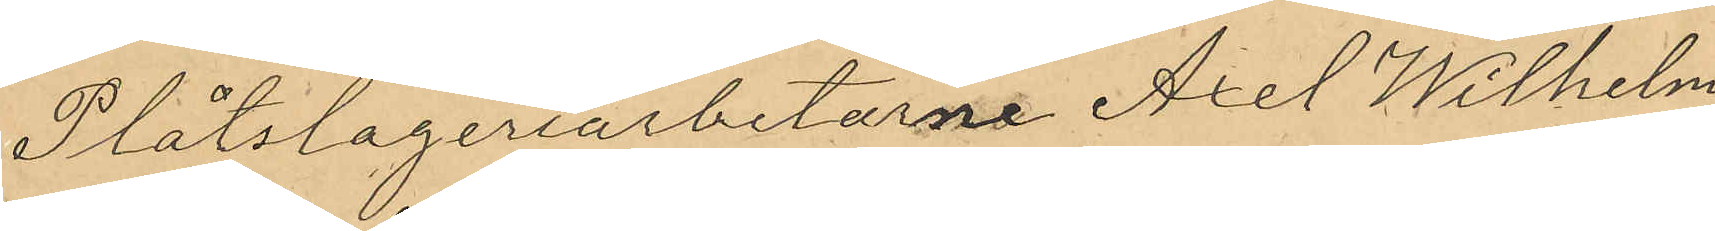Plåtslageriarbetarne Axel Wilhelm
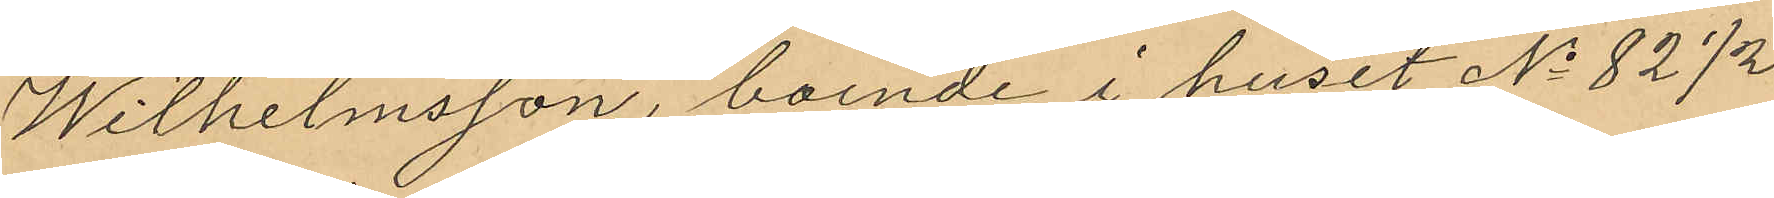Wilhelmsson, boende i huset No 82 1/2
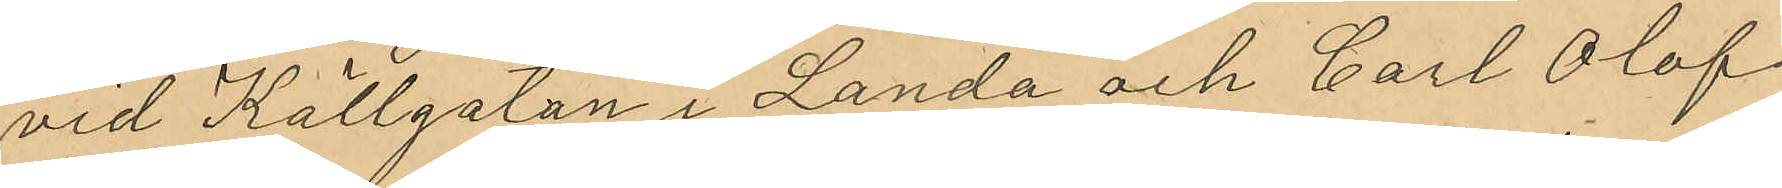vid Källgatan i Landa och Carl Olof
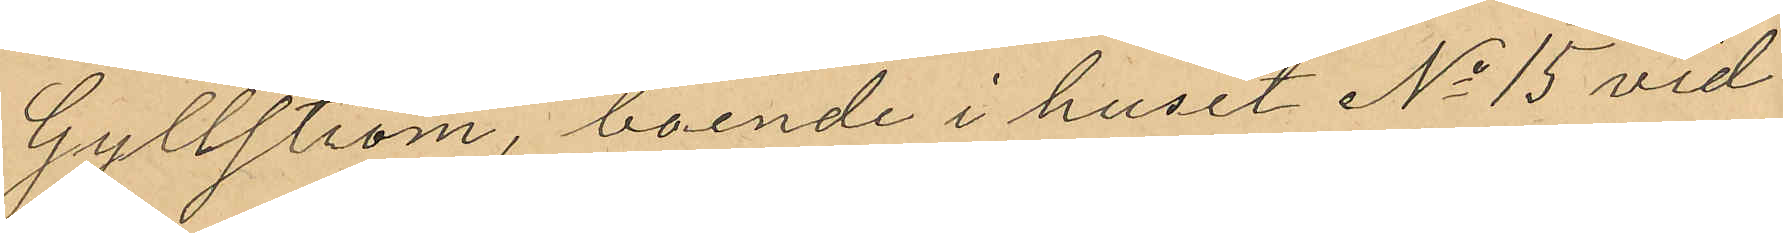Gyllström, boende i huset No 15 vid
